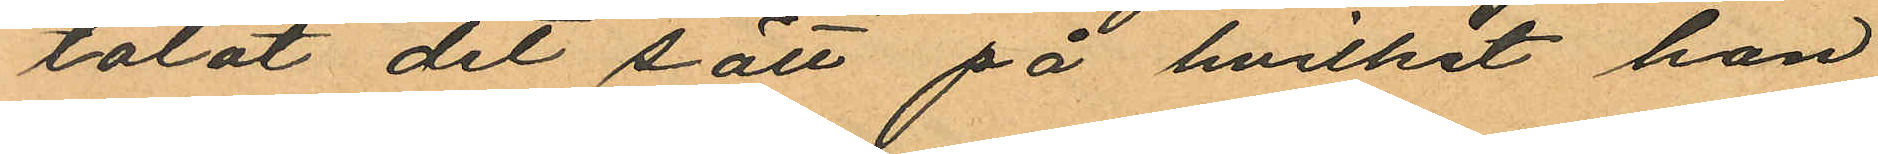talat det sätt på hvilket hon
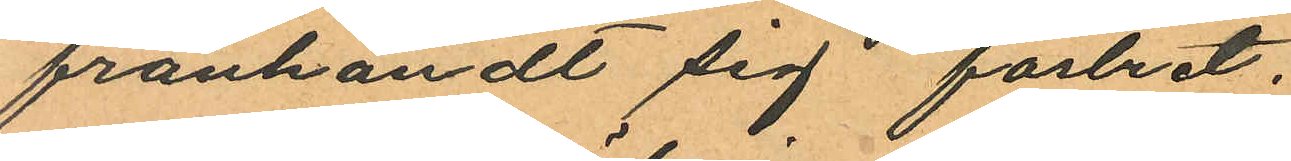frånhändt sig fostret.
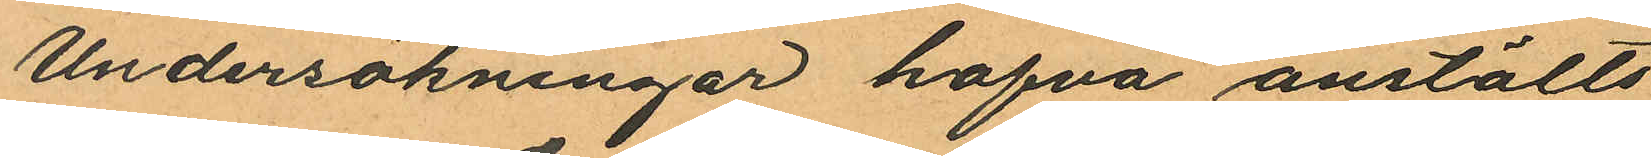Undersökningar hafva anstälts
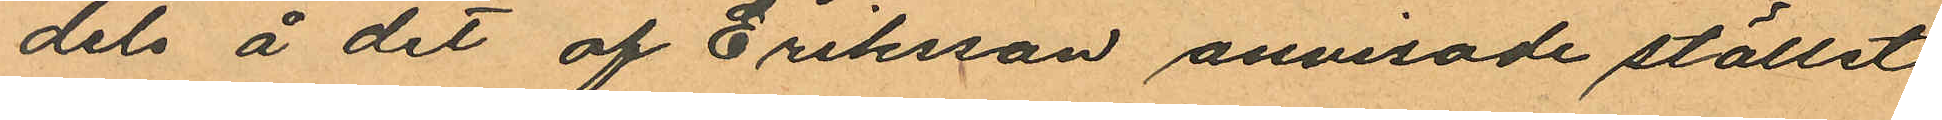dels å det af Eriksson anvisade stället
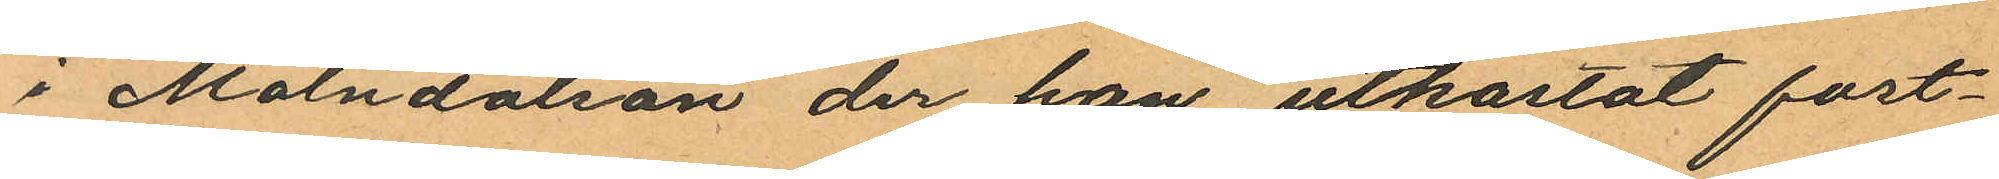i Mölndalsån der hon utkastat fost¬
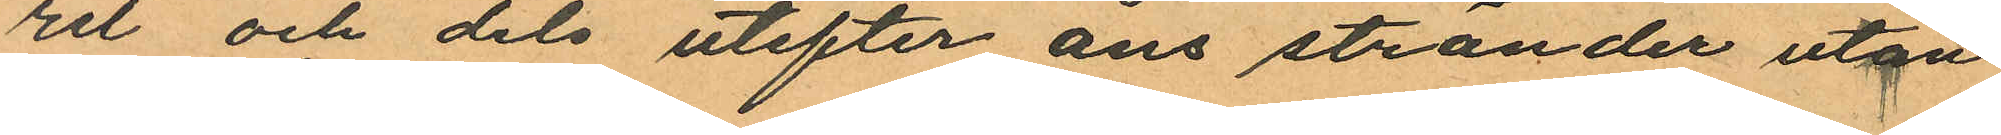rit och dels utefter åns stränder utan
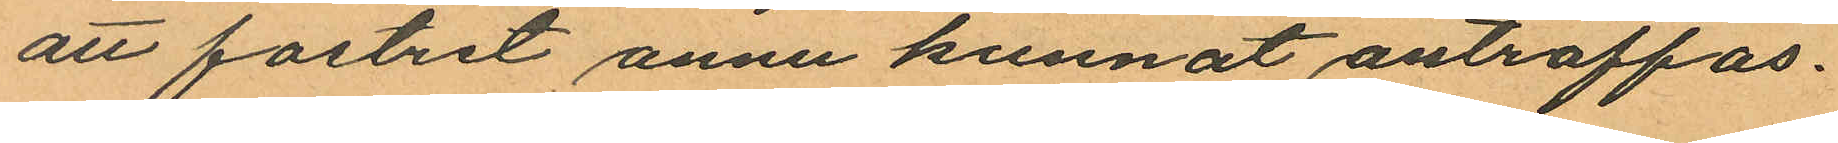att fostret ännu kunnat anträffas.
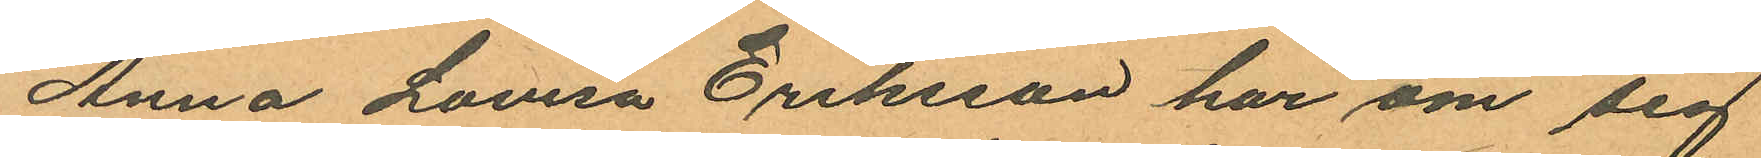Anna Lovisa Eriksson har om sig
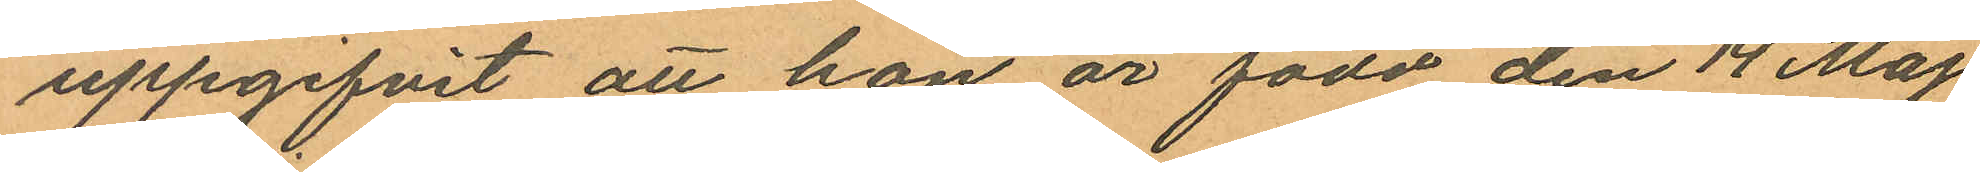uppgifvit att hon är född den 14 Maj
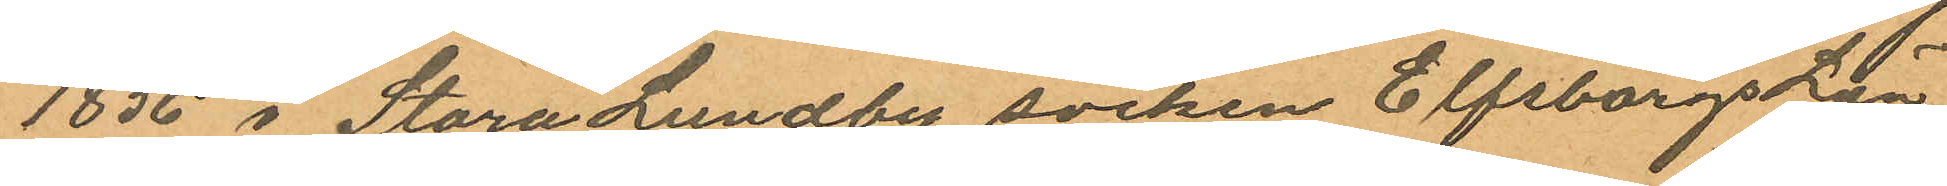1856 i Stora Lundby socken Elfsborgs Län
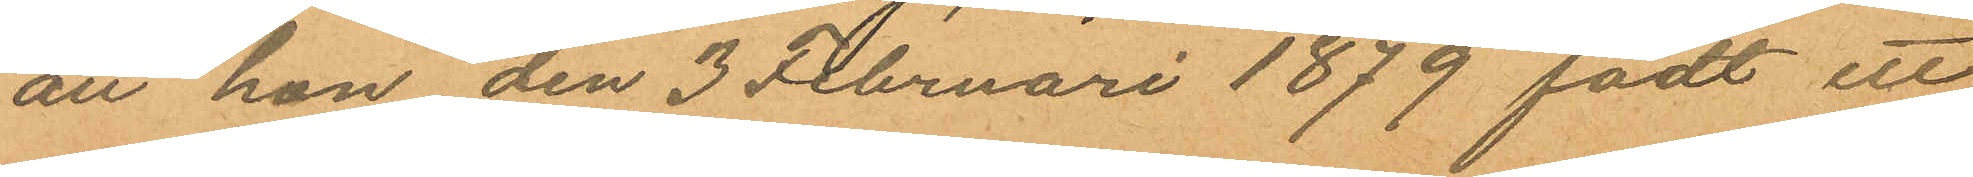att han den 3 Februari 1879 födt ett
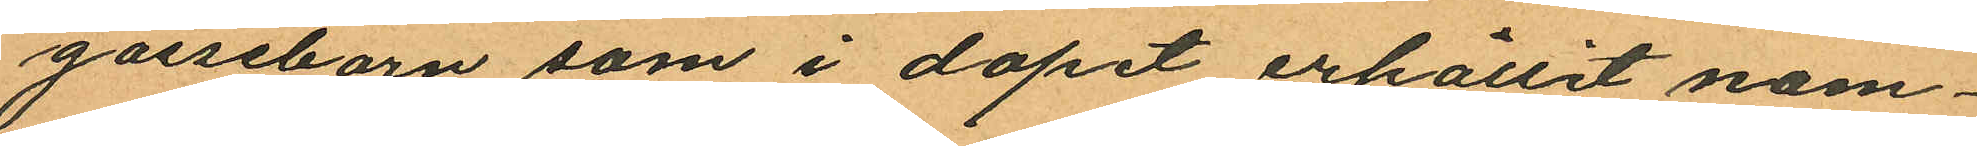gossebarn som i dopet erhållit nam¬
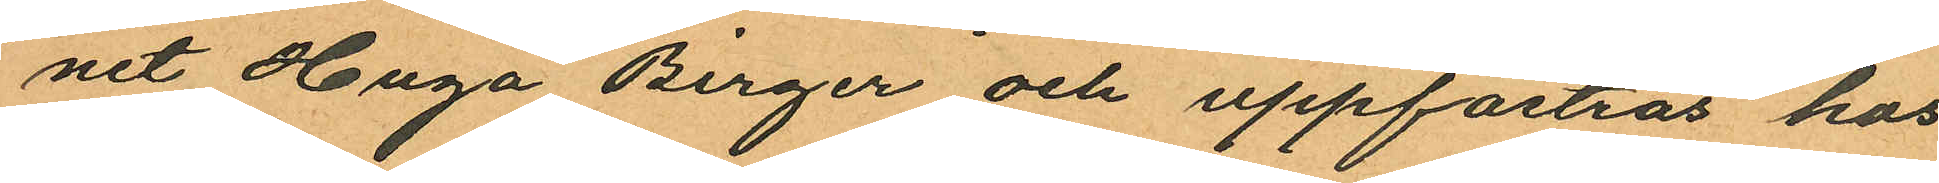net Hugo Birger och uppfostras hos
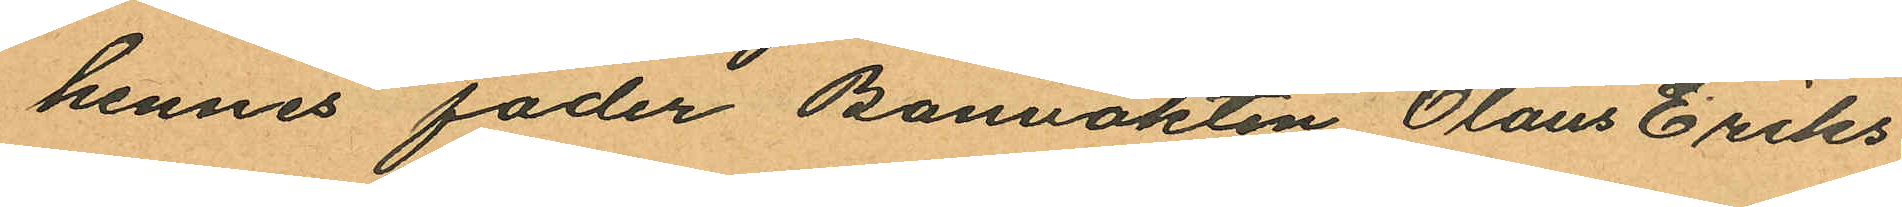hennes fader Banvakten Olaus Eriks¬
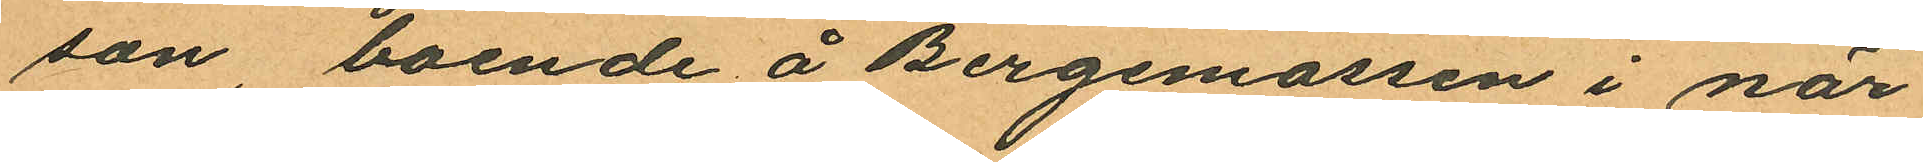son, boende å Bergemossen i när
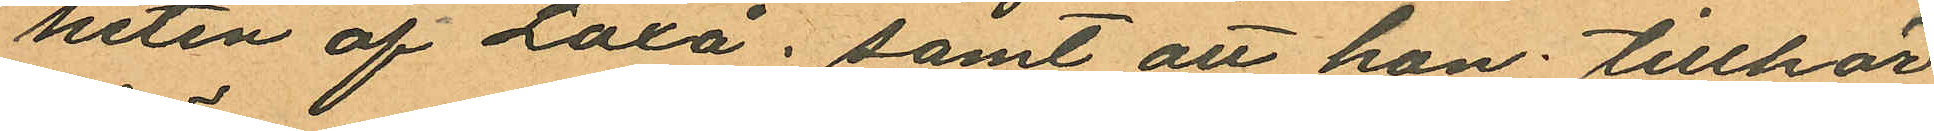heten af Laxå; samt att hon tillhör
